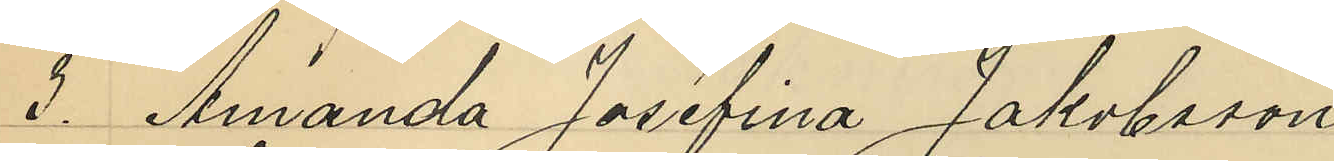2o Amanda Josefina Jakobsson
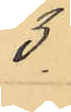5
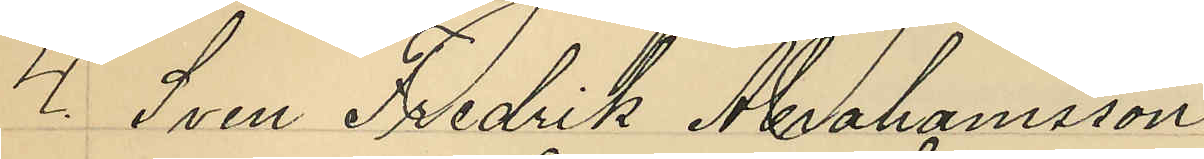4 Sven Fredrik Mohamsson
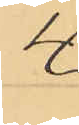4
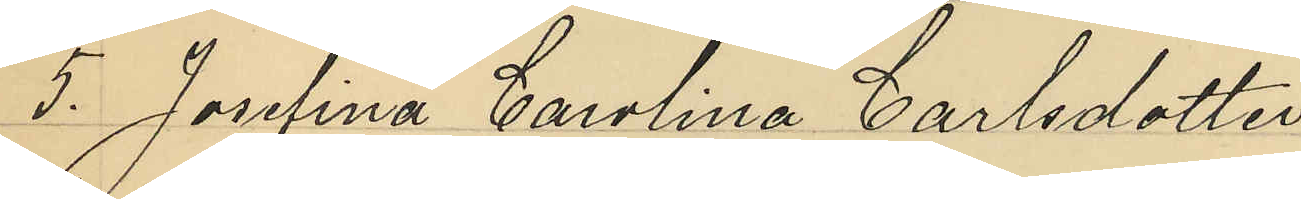5o Joslina Carolina Carlsdotter
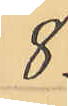8.
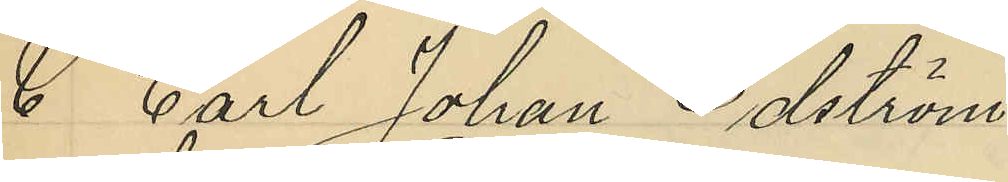& Carl Johan Edström
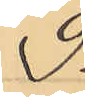2.
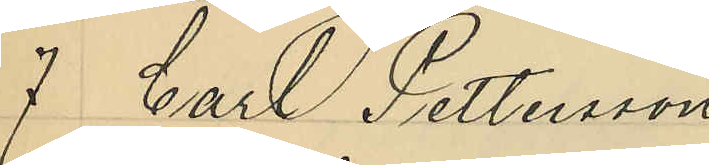7 Carl Pettersson
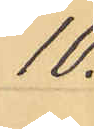10:
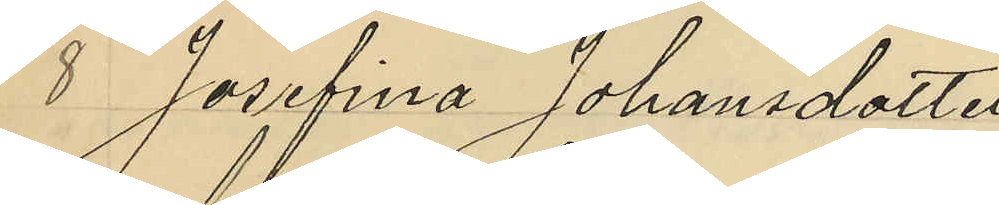8 Josefina Johansdotter
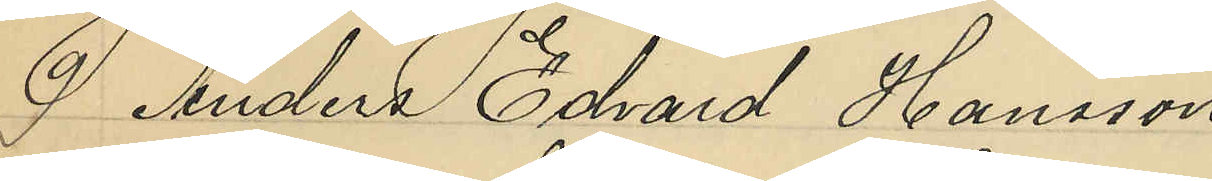O. Anders Edvard Hansson
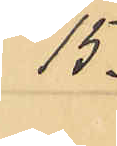15:
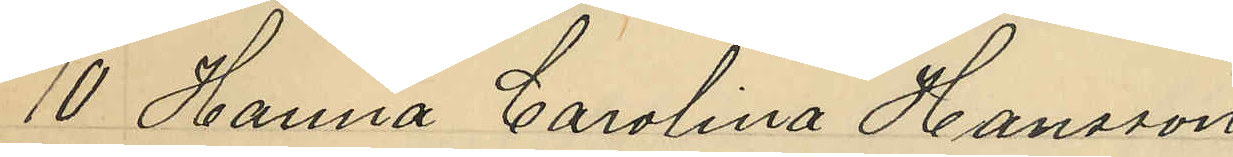10 Hanna Carolina Hansson
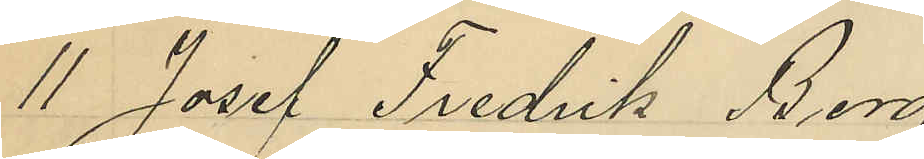11 Josef Fredrik Borg
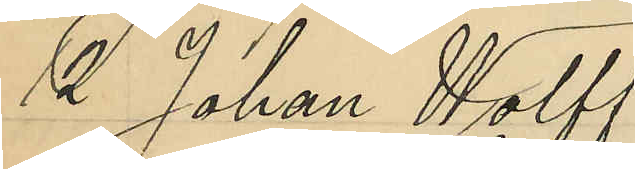12 Johan Holff
